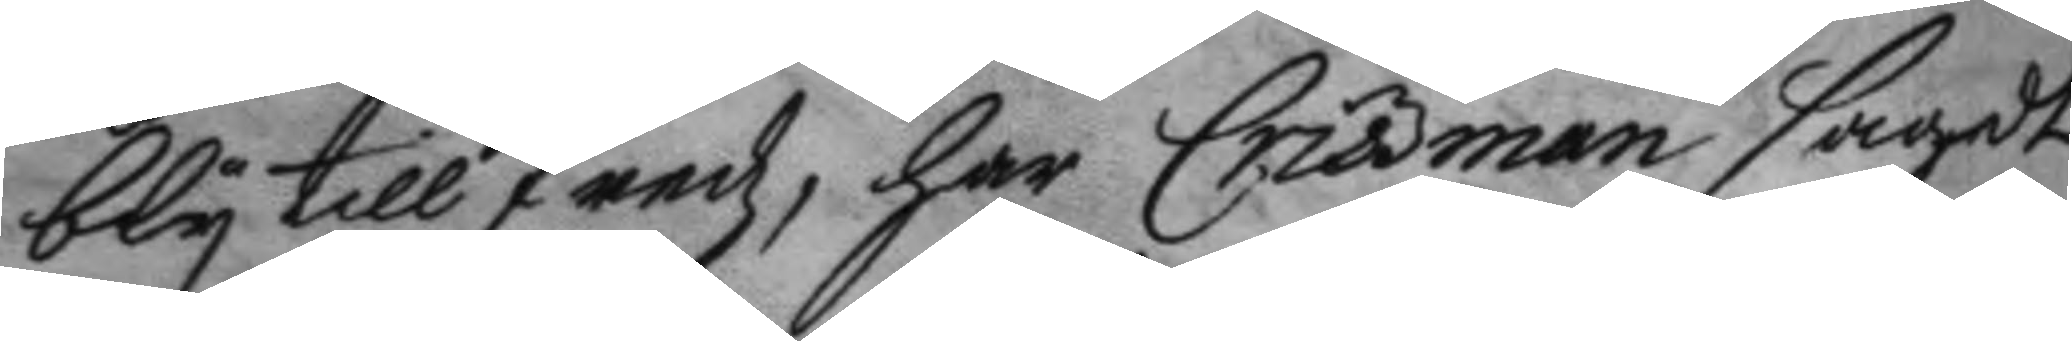bly till fredz, har Crissman sagdt
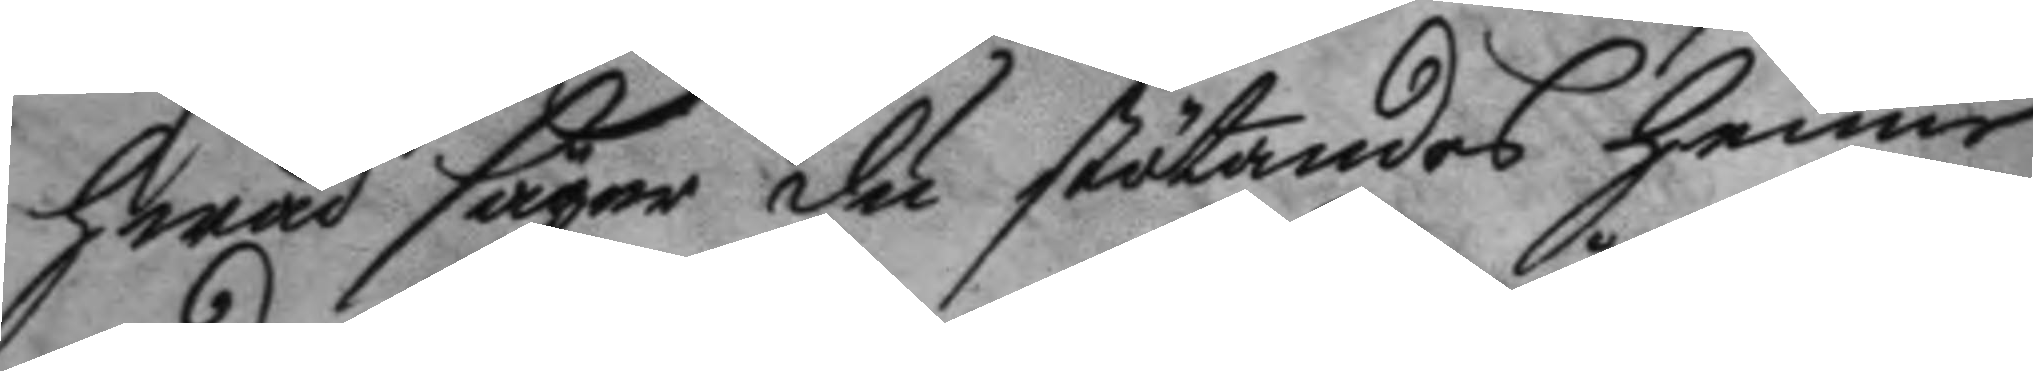hwad säger du stötandes henne
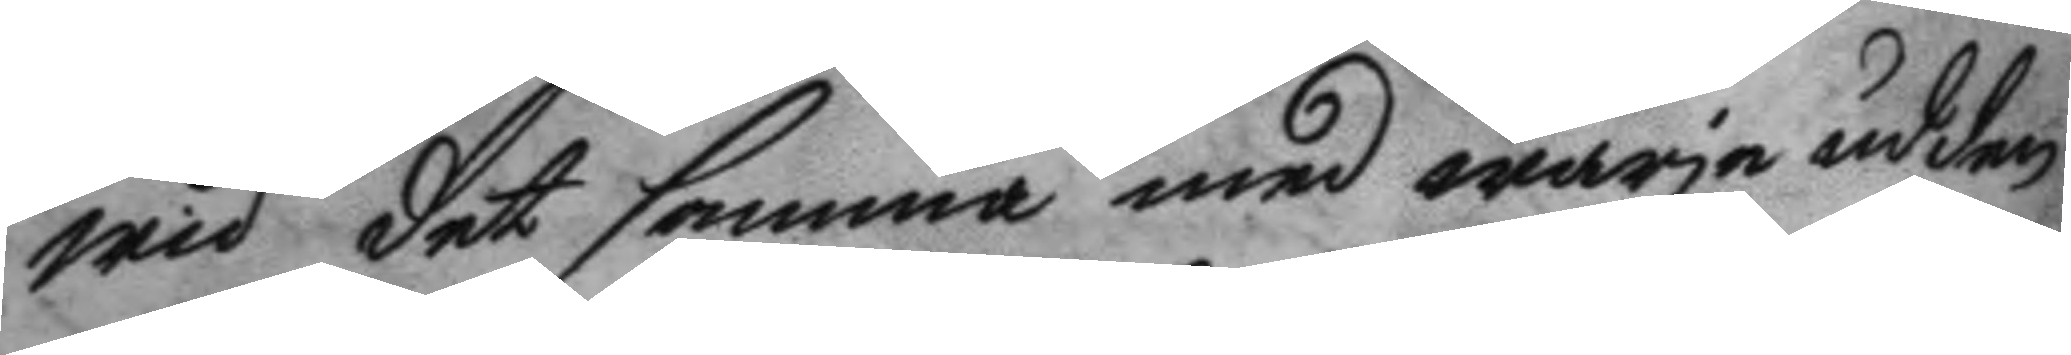wid det samma med wärja udden
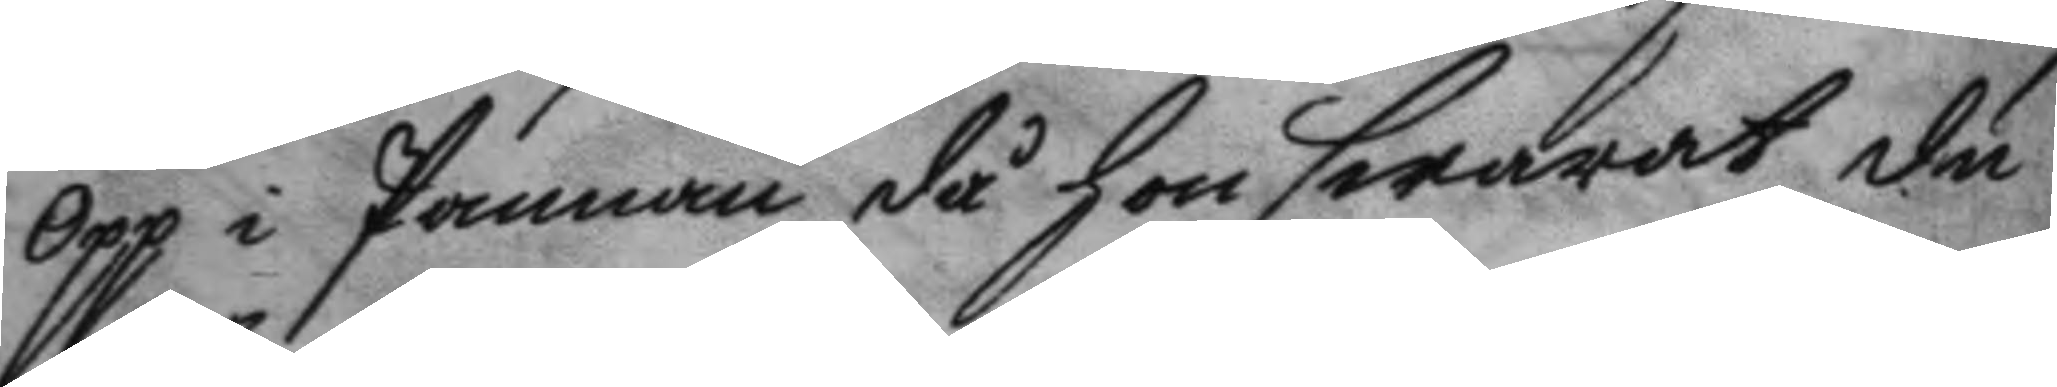opp i Pannan, då hon swarat du
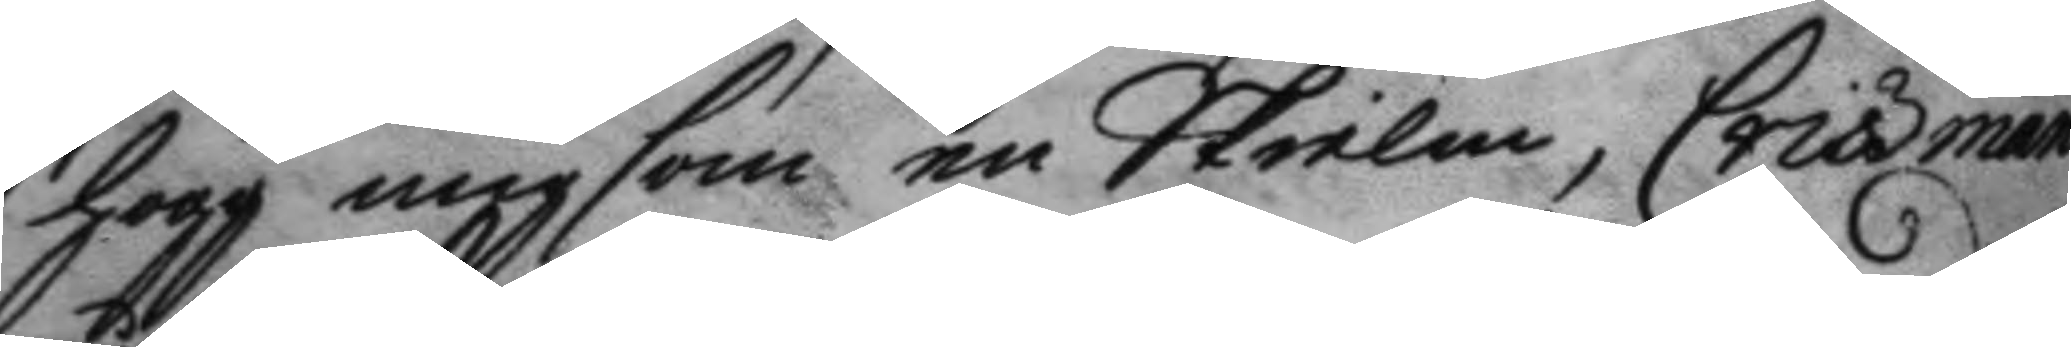högg mig som en Skielm, Crissman
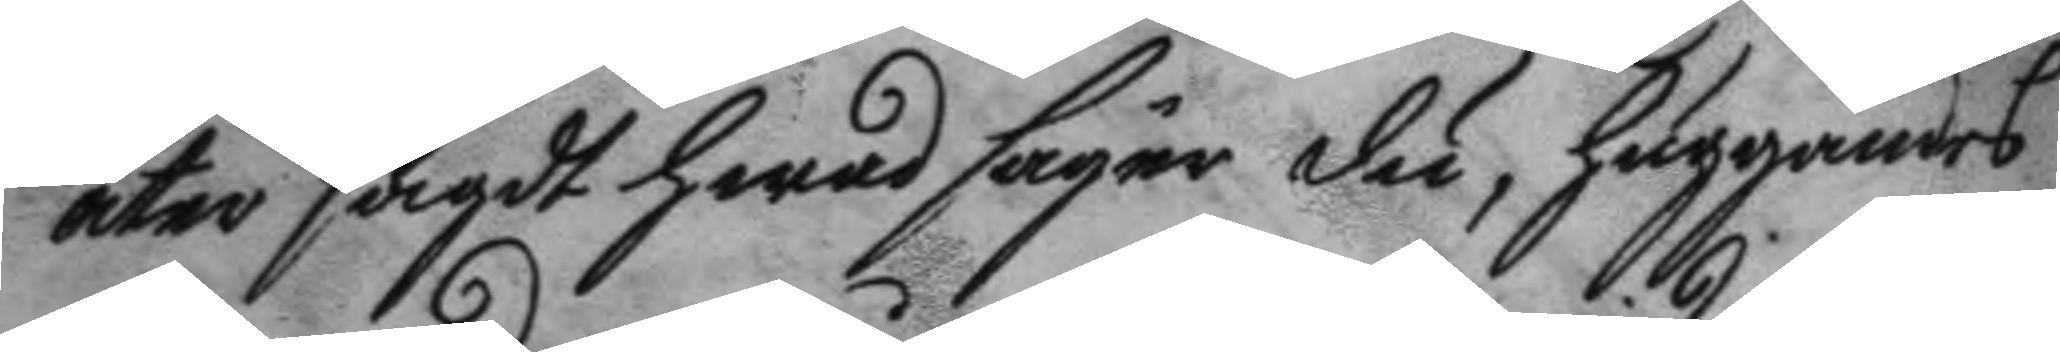åter sagdt hwad säyer du, huggandes
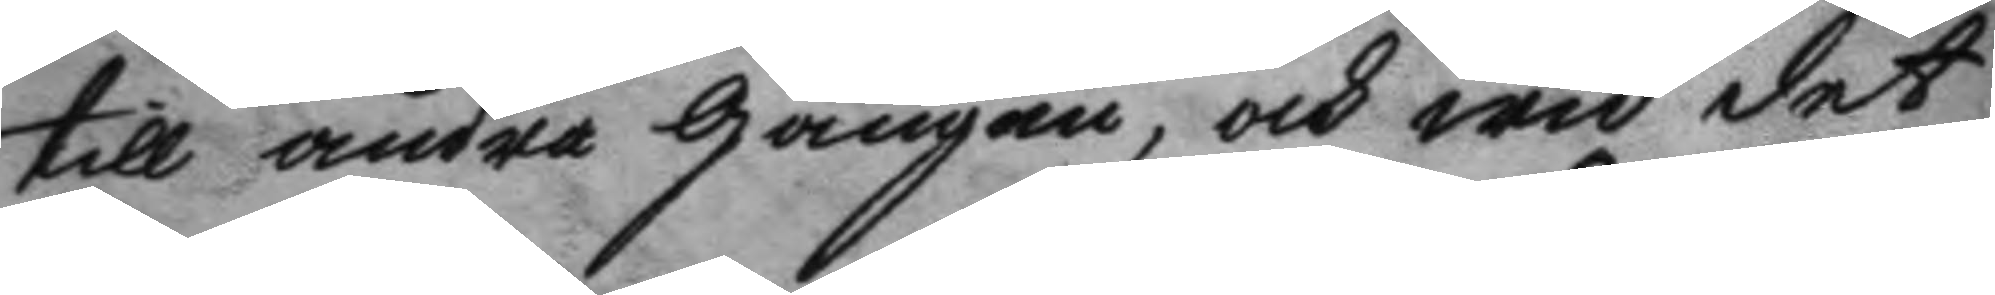till andra gången, och wid det
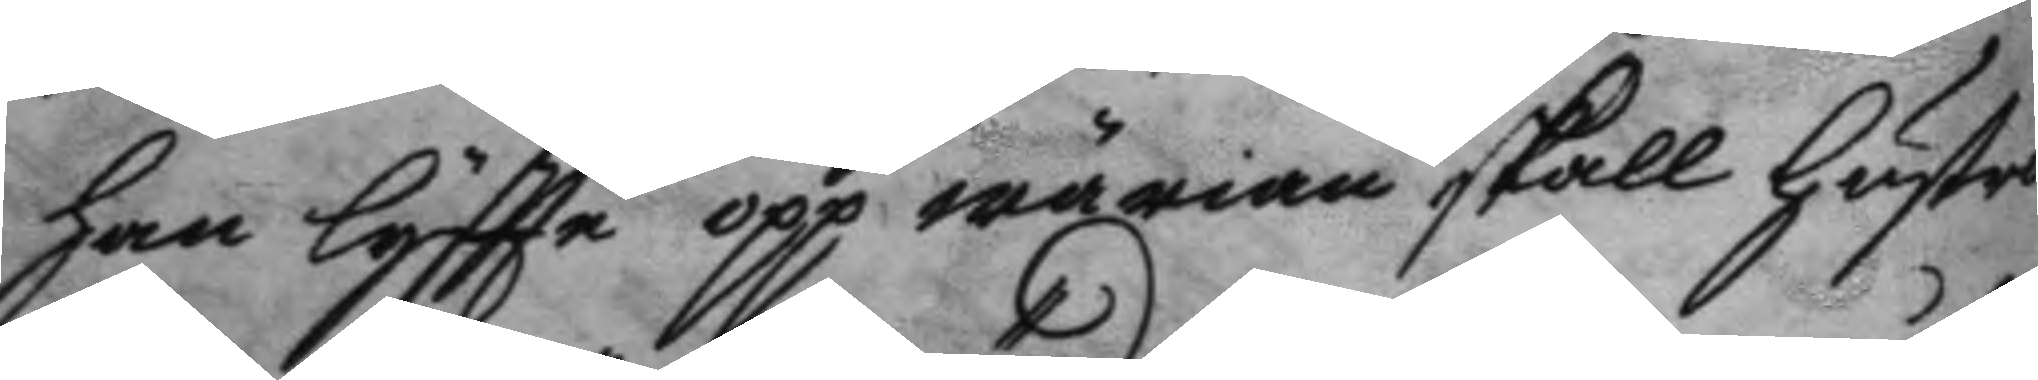han löftte opp wärian skall hustro
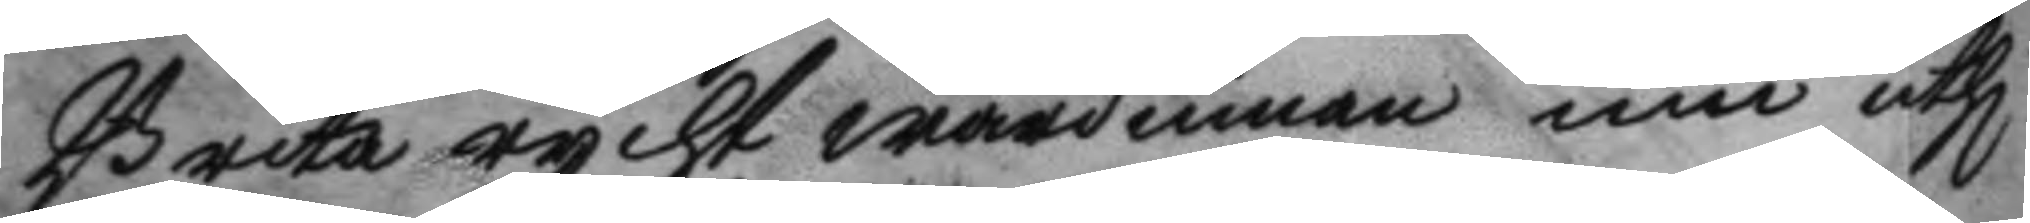Brita ryckt wärdinnan inn uthi
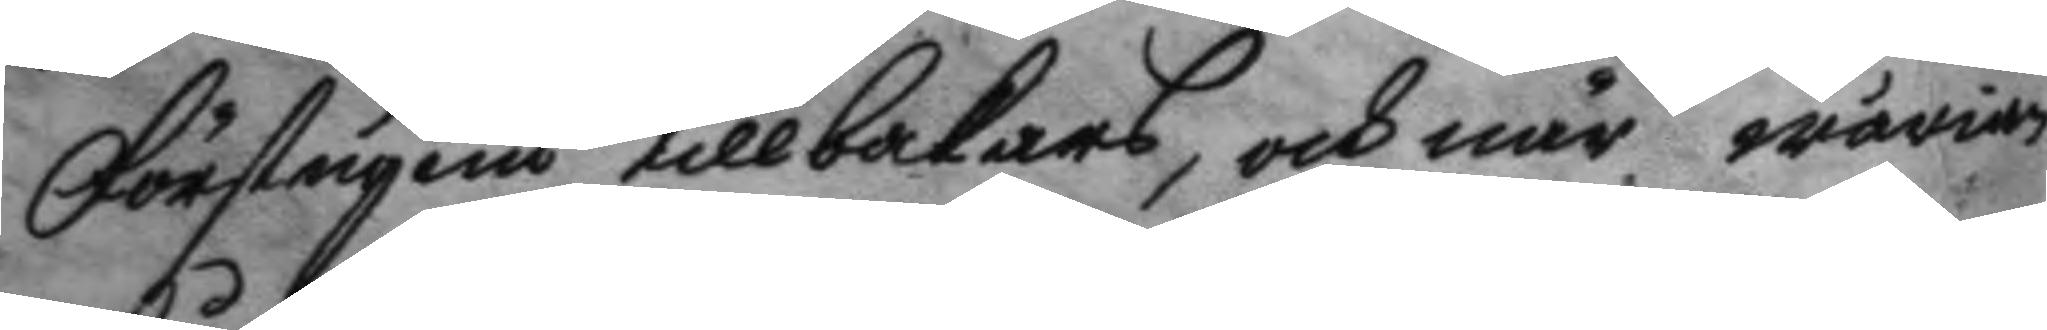Förstugun tillbakars, och när wärian
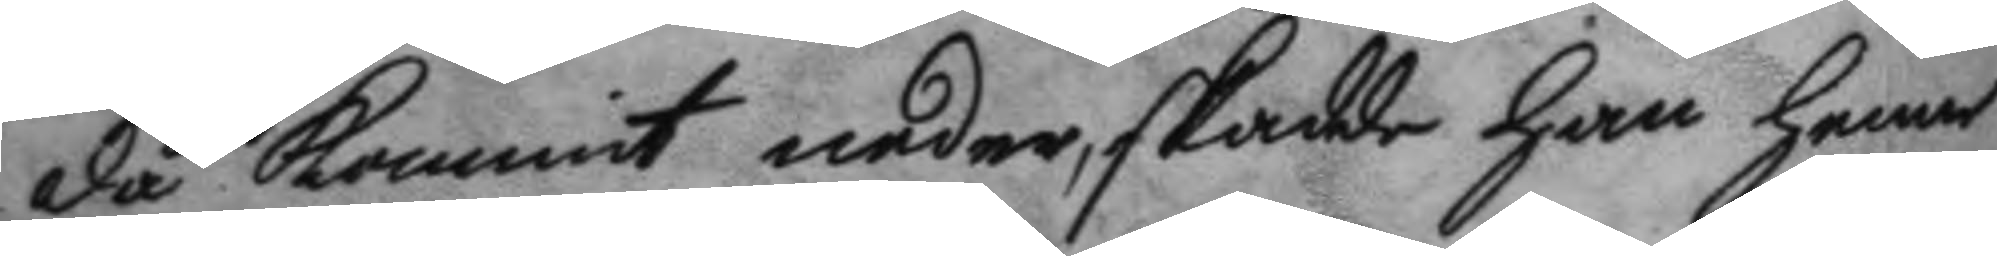då kommit neder, skadde han henne
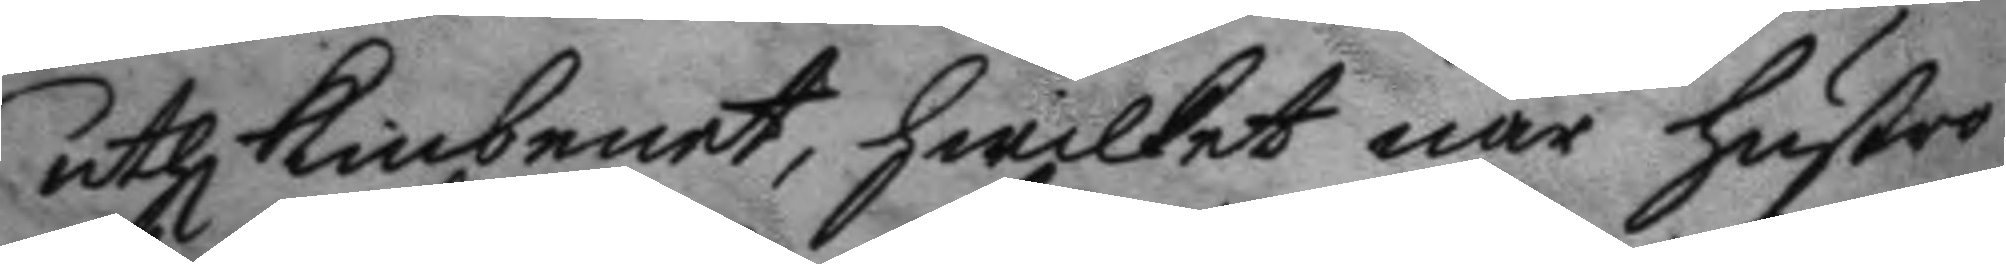uthi kinbenet, hwilket när hustro
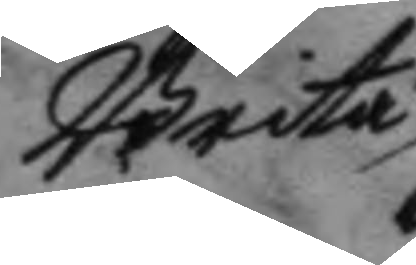Brita
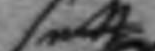sett
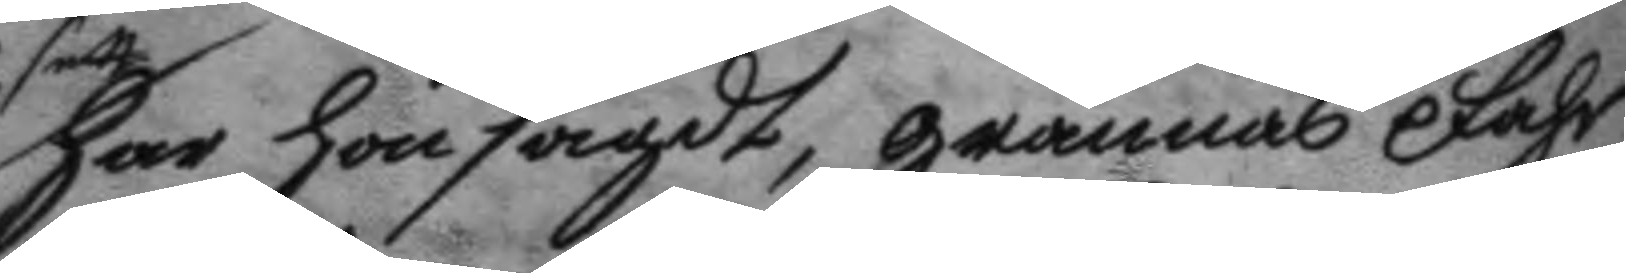har hon sagdt, grannas Fahr
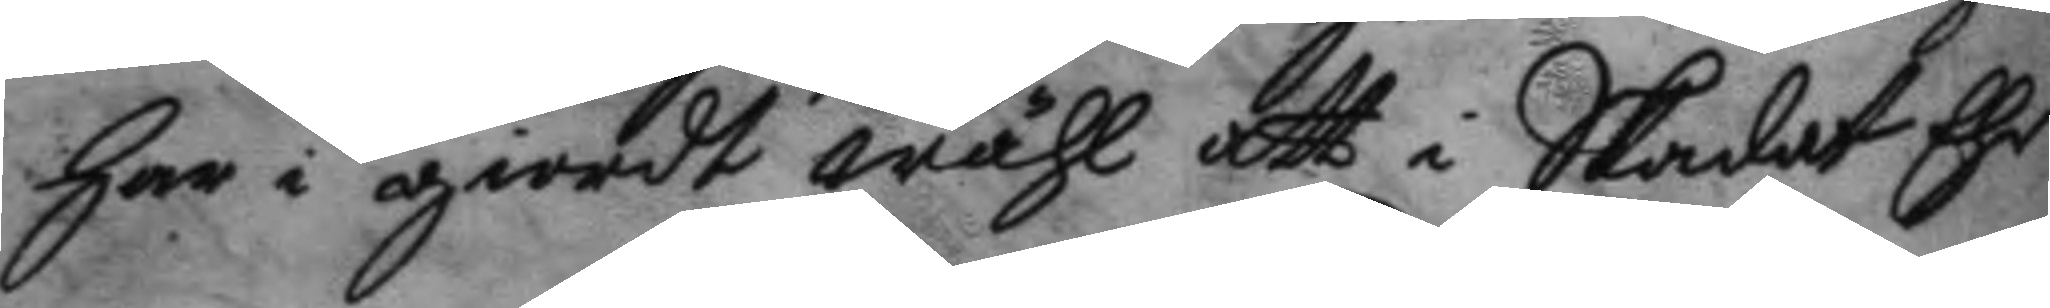har i giordt wähl att i Skadat Ehr
